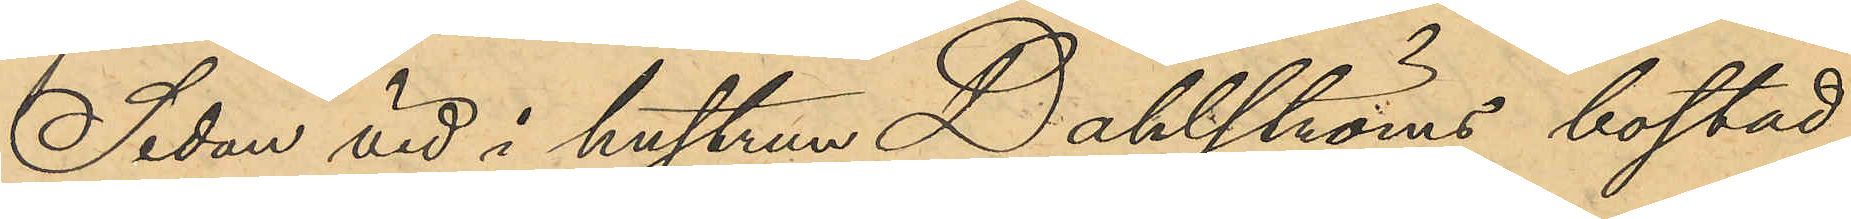Sedan vid i hustrun Dahlströms bostad
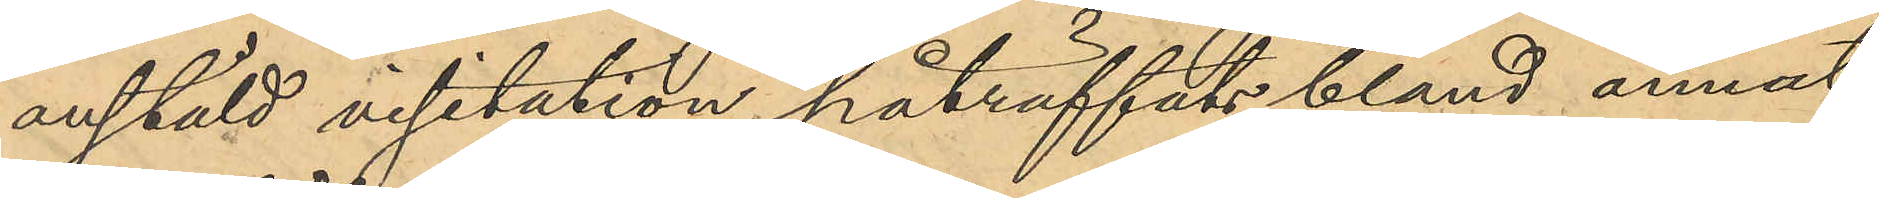anstäld visitation, påträffats bland annat
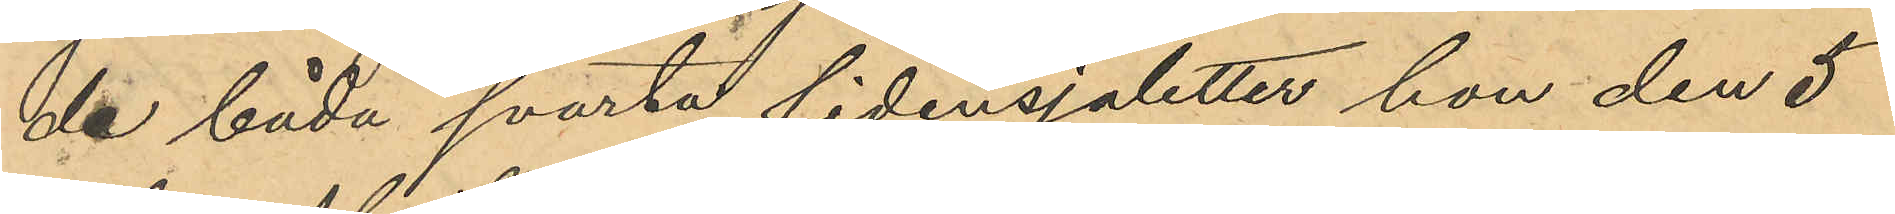de båda svarta sidensjaletter hon den 5
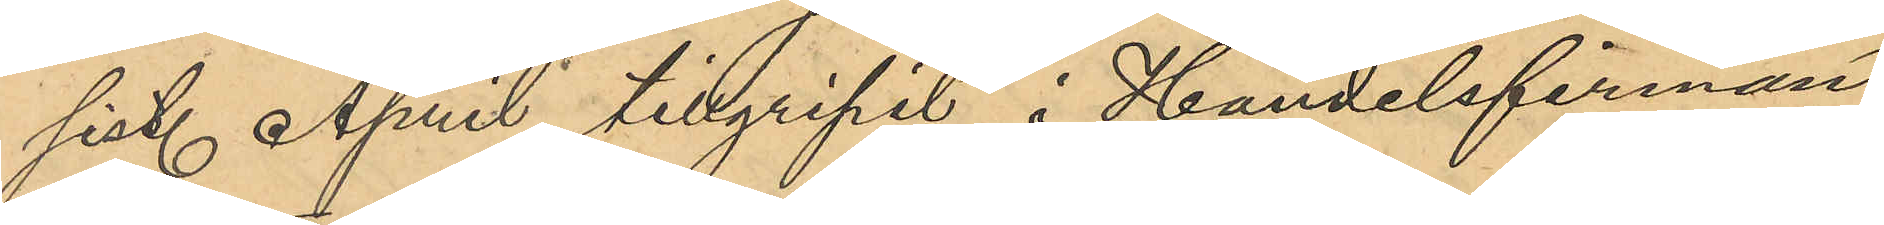sist. April tillgripit i Handelsfirman
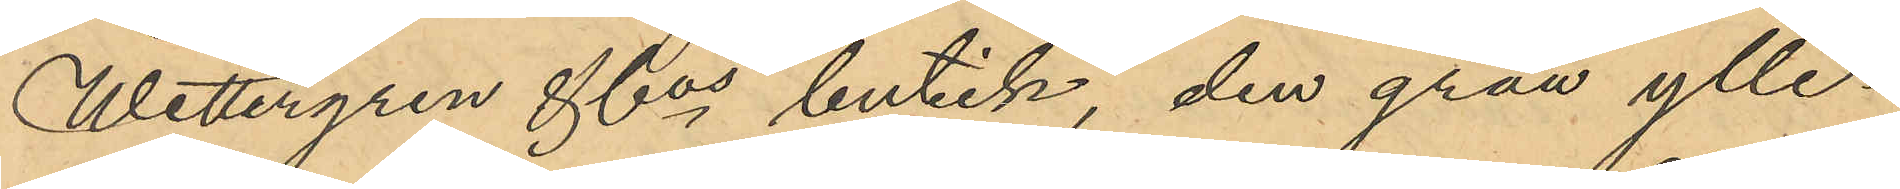Wettergren & Cos butik, den gråa ylle¬
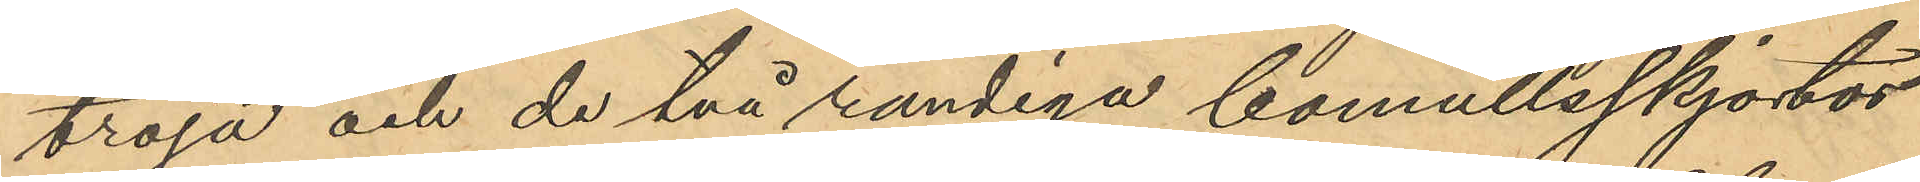tröja och de två randiga bomullsskjortor
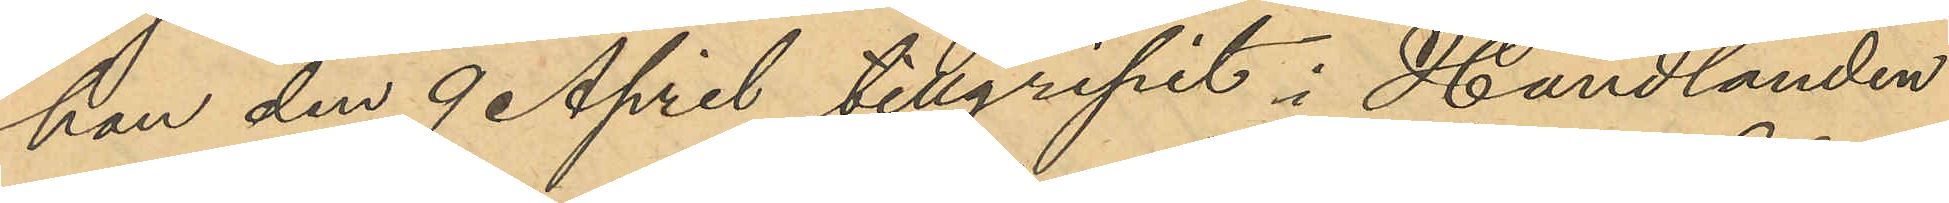hon den 9 April tillgripit i Handlanden
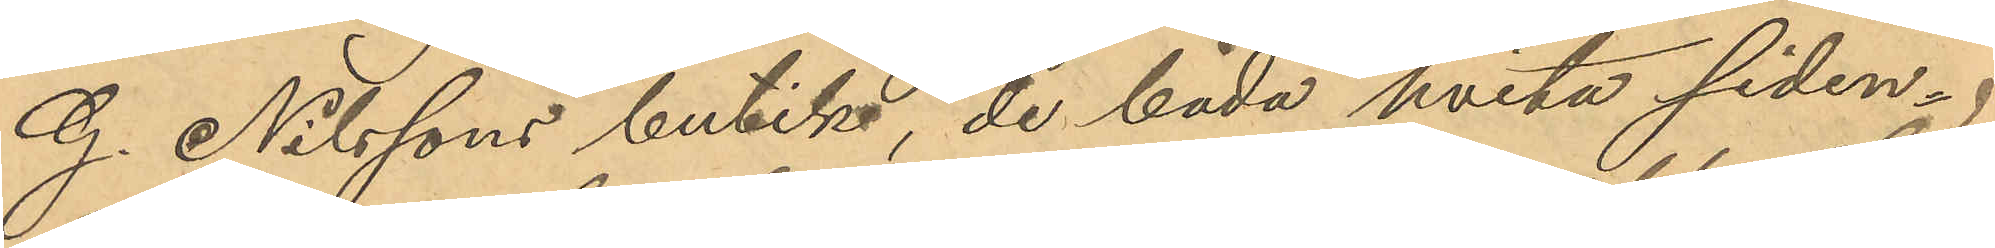G. Nilssons butik, de båda hvita siden¬
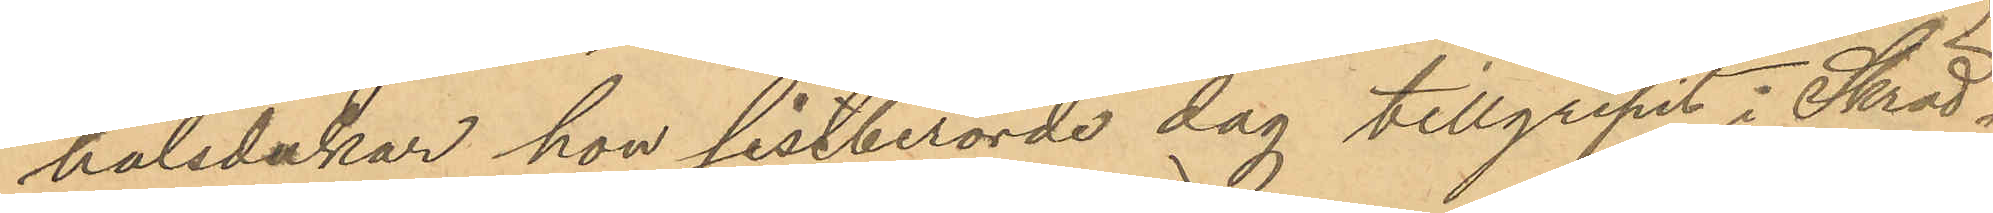halsdukar hon sistberörde dag tillgripit i Skräd¬
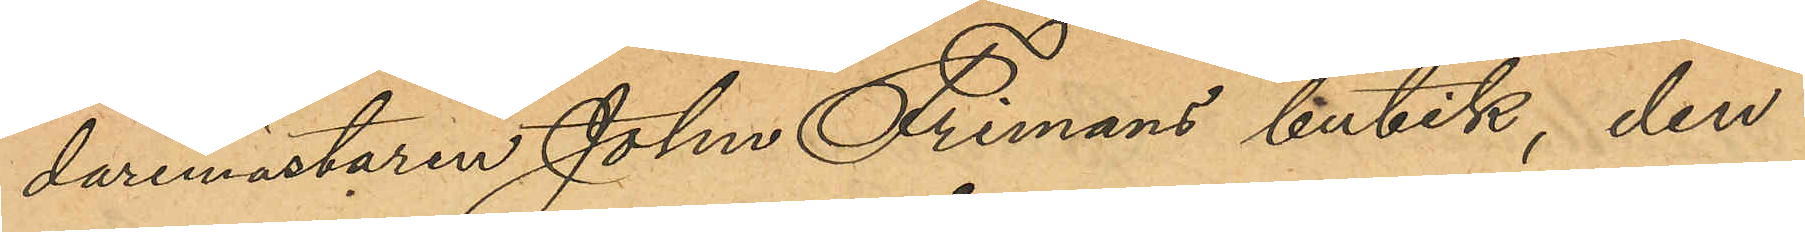daremästaren John Frimans butik, den
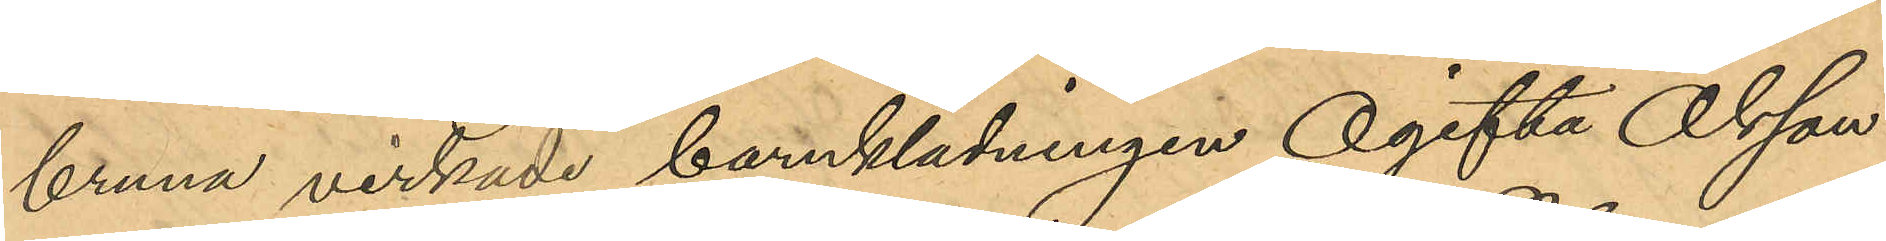bruna virkade barnklädningen Ogifta Olsson
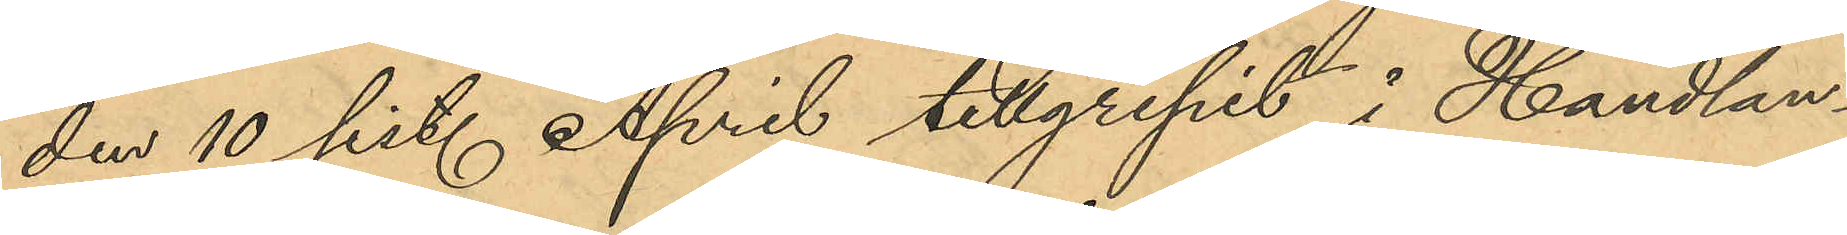den 10 sist. April tillgripit i Handlan¬
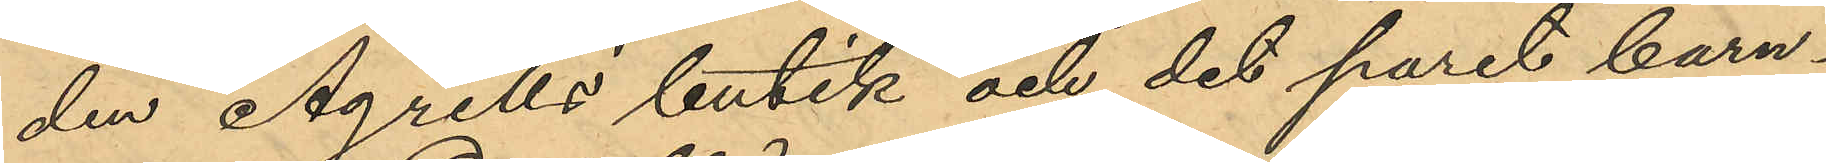den Agrells butik och det paret barn¬
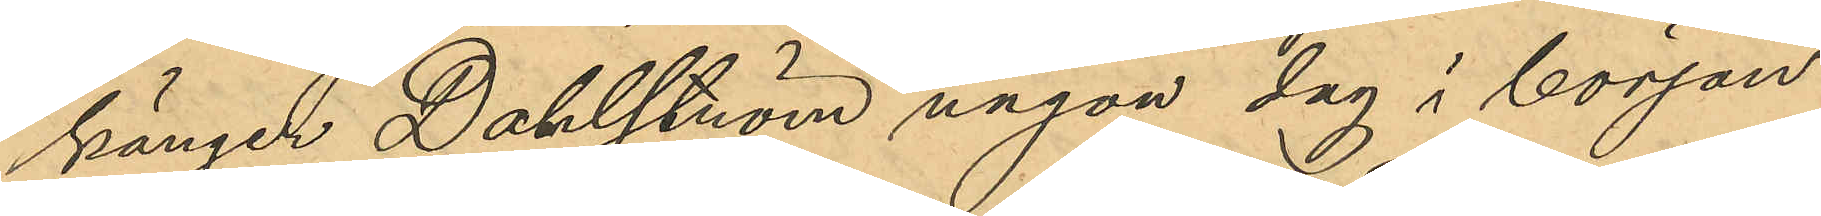känger Dahlström någon dag i början
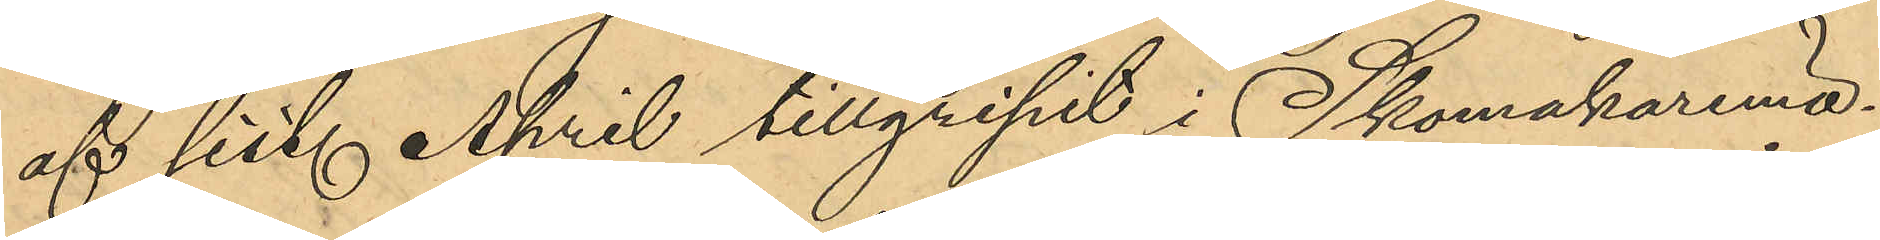af sist. April tillgripit i Skomakarmä¬
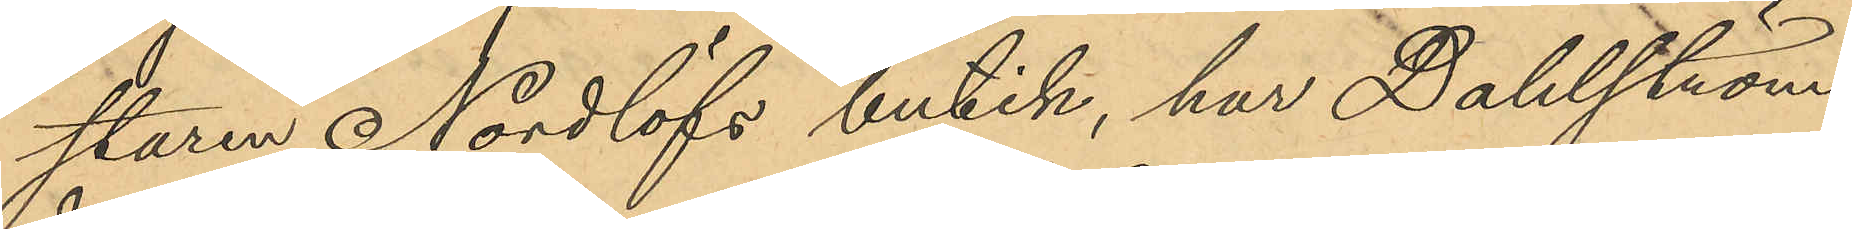staren Nordlöfs butik, har Dahlström
